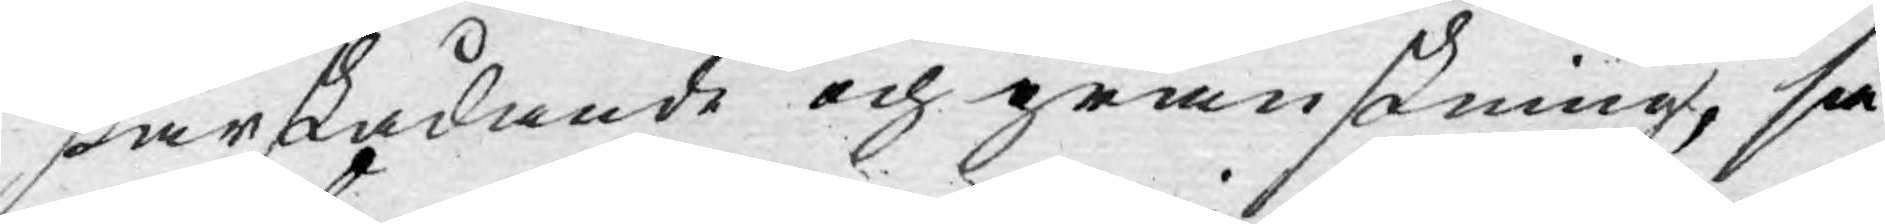siärskådande och granskning, så
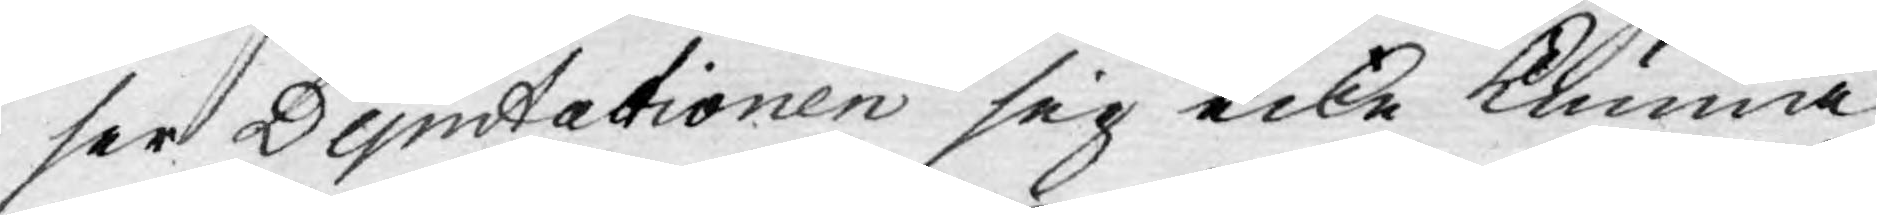ser Deputationen sig icke kunna
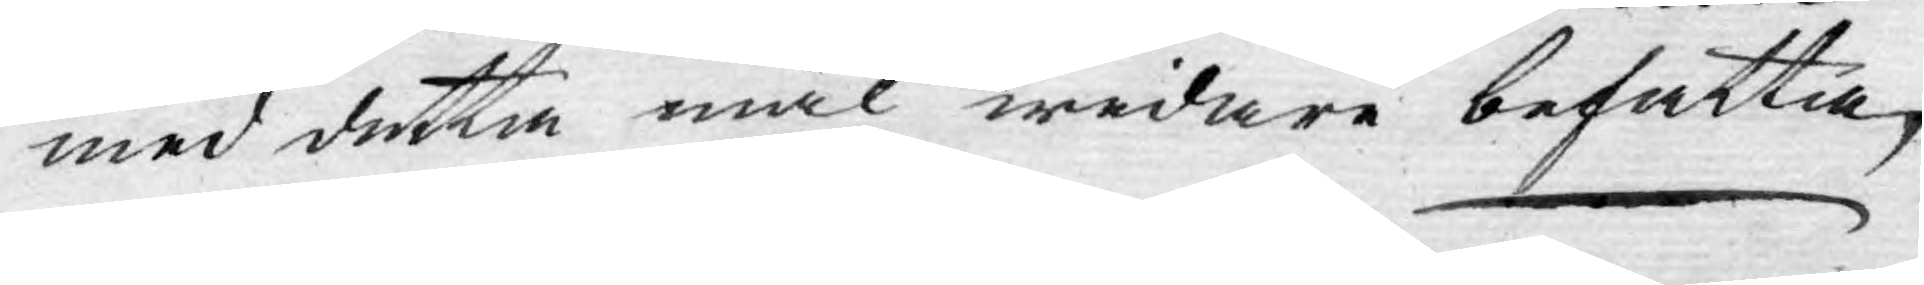med detta mål widare befatta,
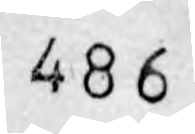486
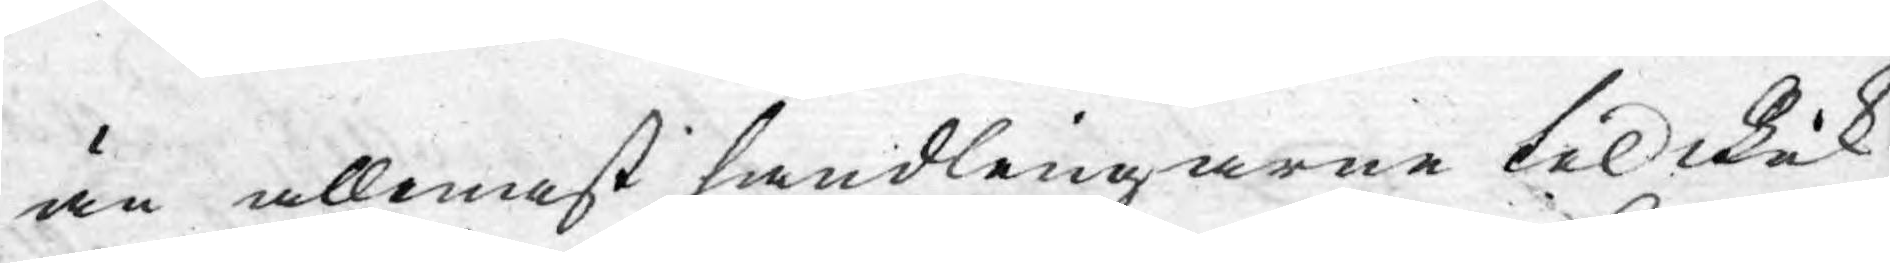än allenast handlingarne til Rik¬
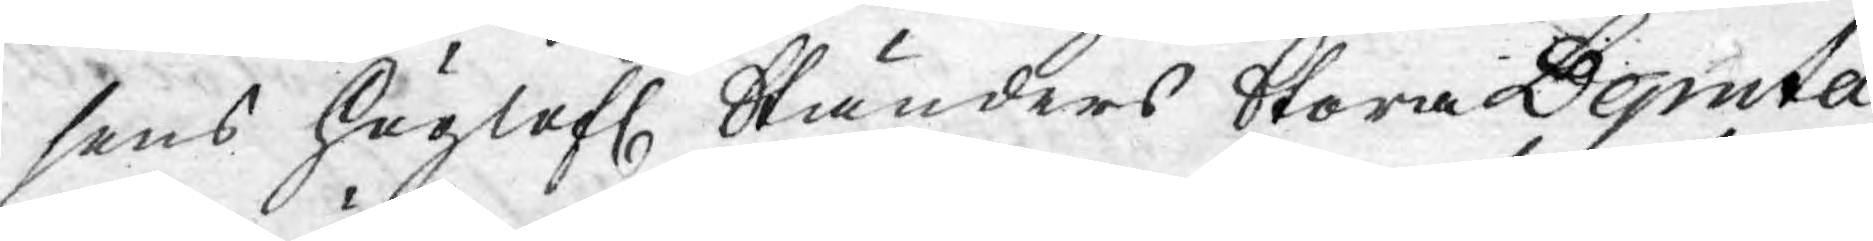sens Höglofl. Ständers Stora Deputa¬
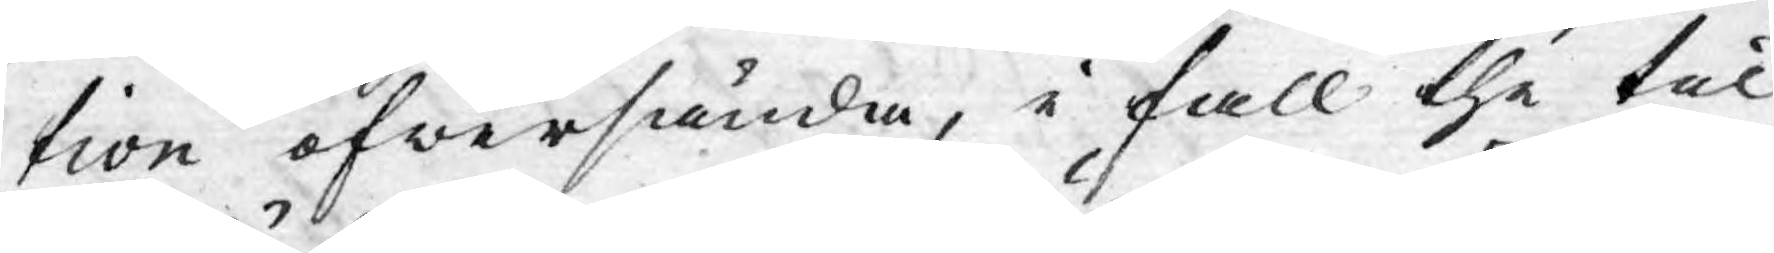tion öfwersända, i fall the til
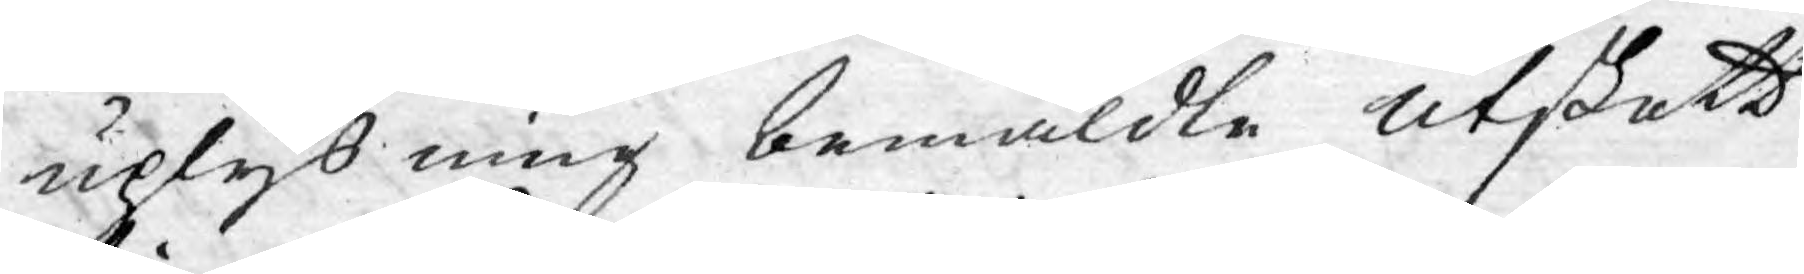uplysning bemäldte utskott
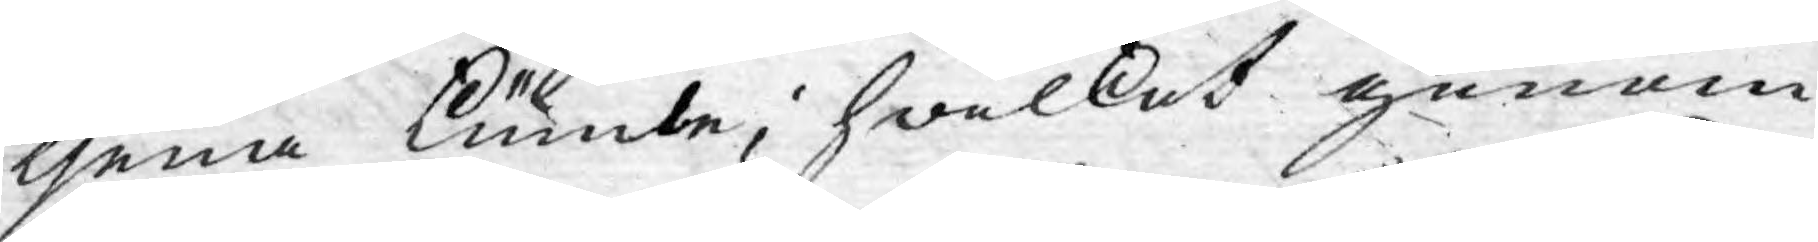tjena kunde; hwilket genom
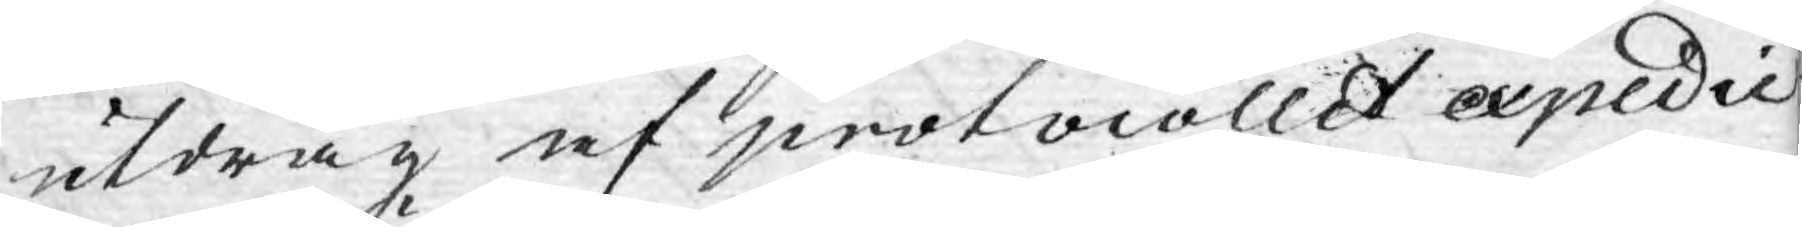utdrag af protocollet epedie¬
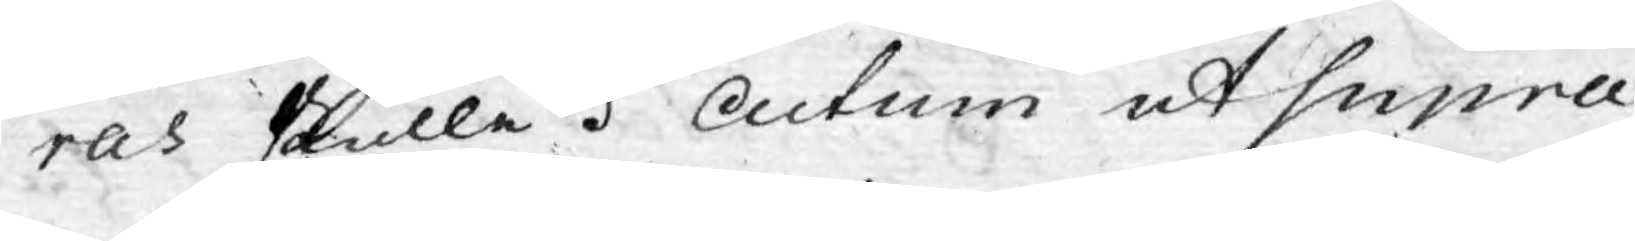ras skulle. Actum ut supra
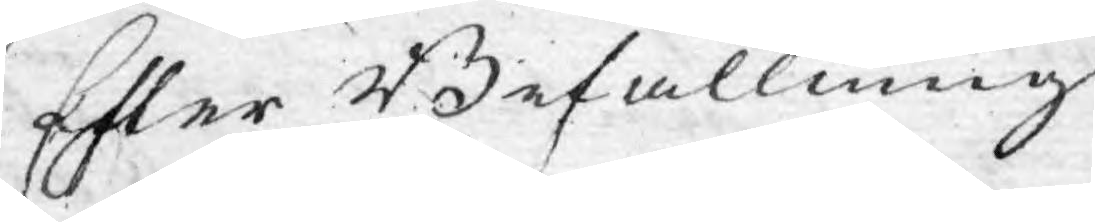Efter Befallning
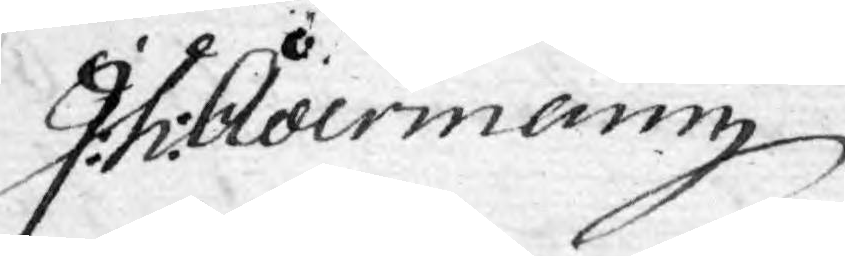J:h: Ådermann
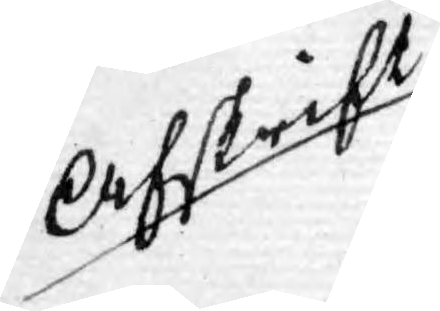Afskrift
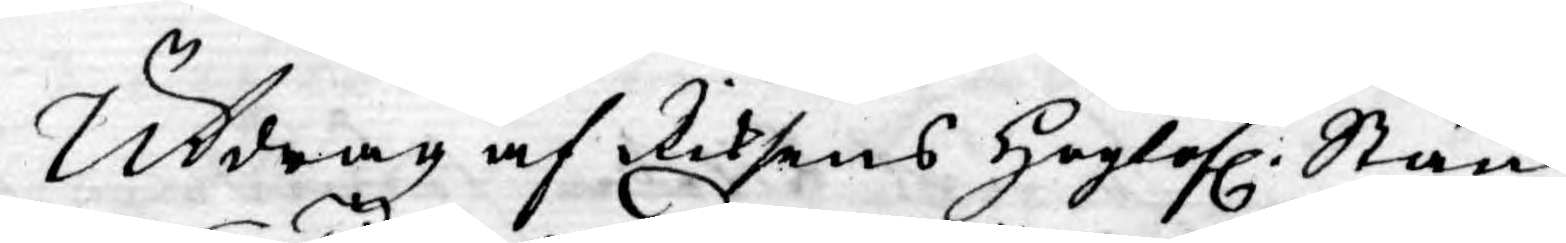Utdrag af Riksens Höglofl: Stän¬
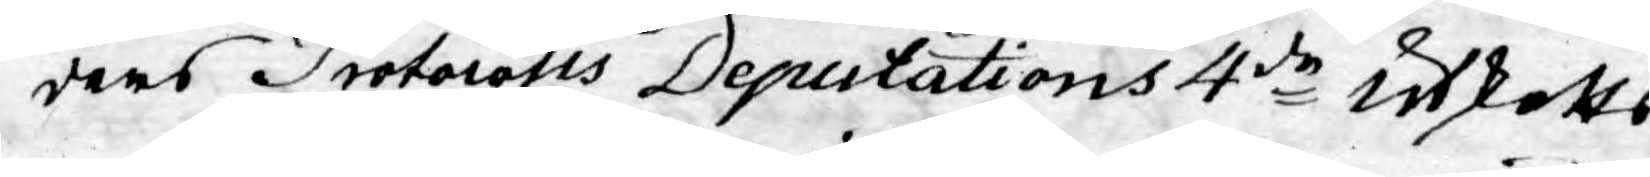ders Protocolls Deputations 4de Utskotts
